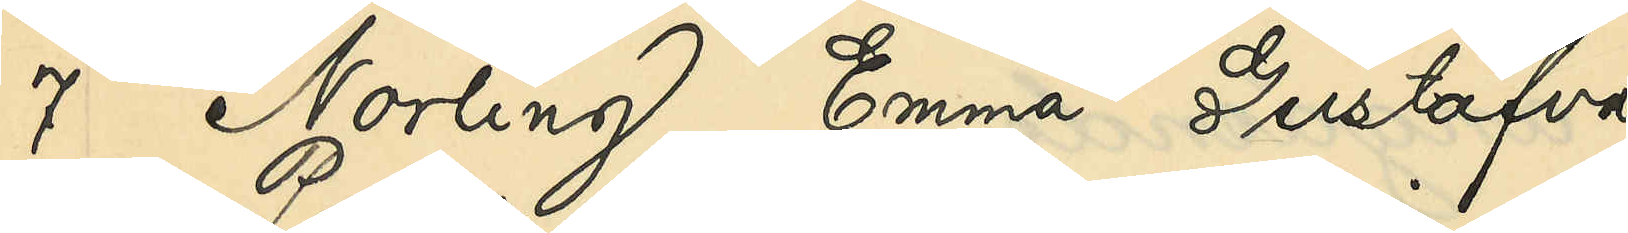7 Norling, Emma Gustafva
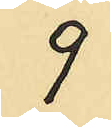9
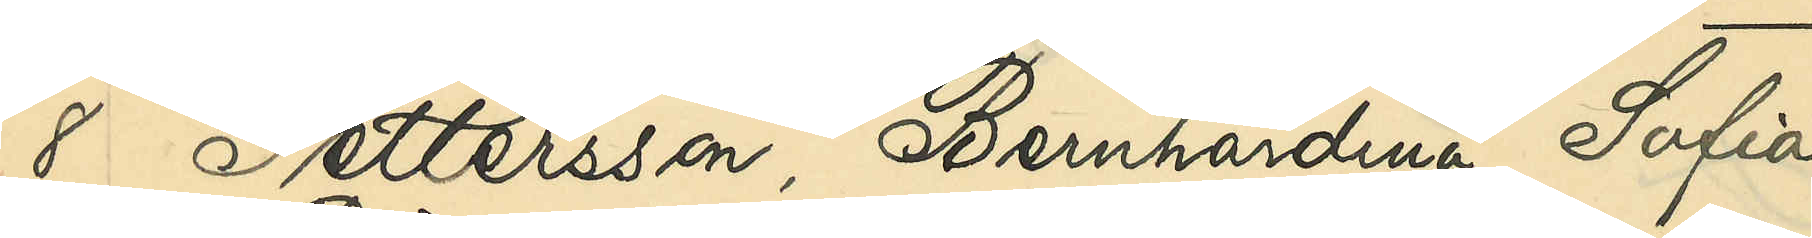8 Pettersson, Bernhardina Sofia
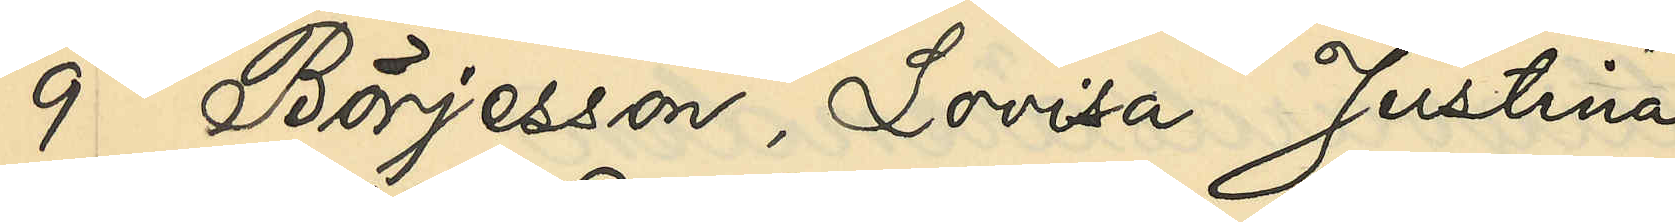9 Börjesson, Lovisa Justina
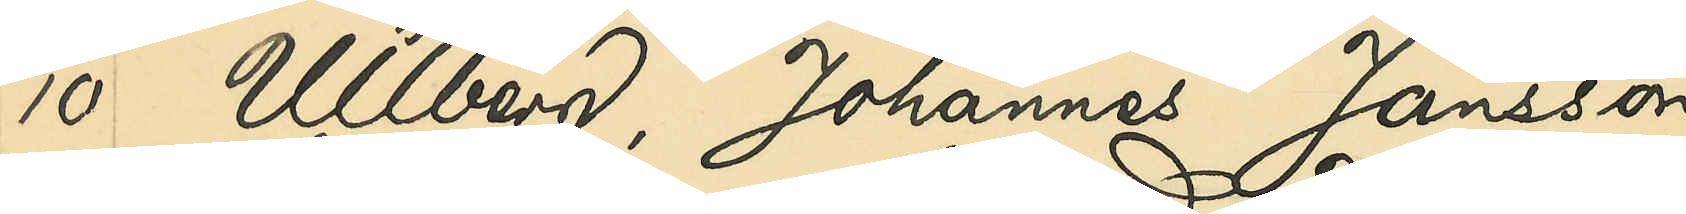10 Ullberg, Johannes Jansson
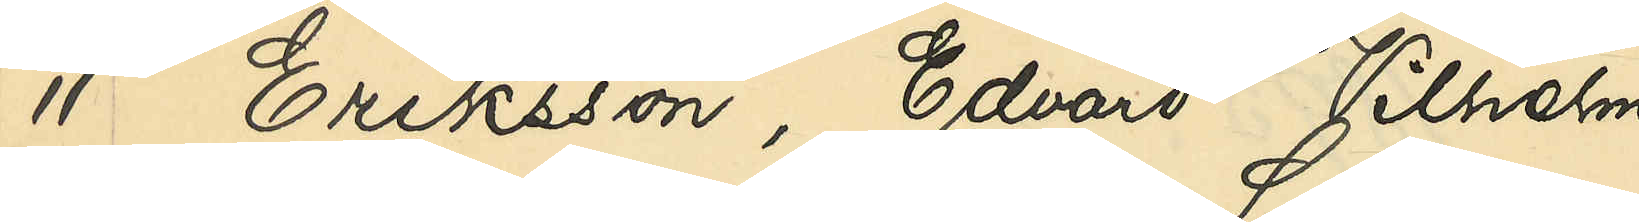11 Eriksson, Edvard Vilhelm
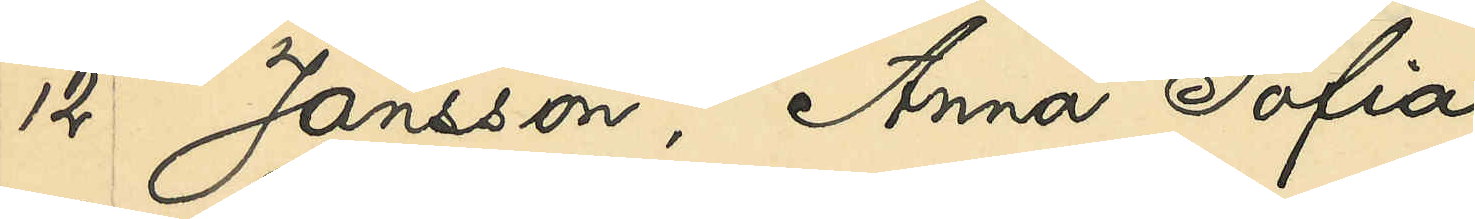12 Jansson, Anna Sofia
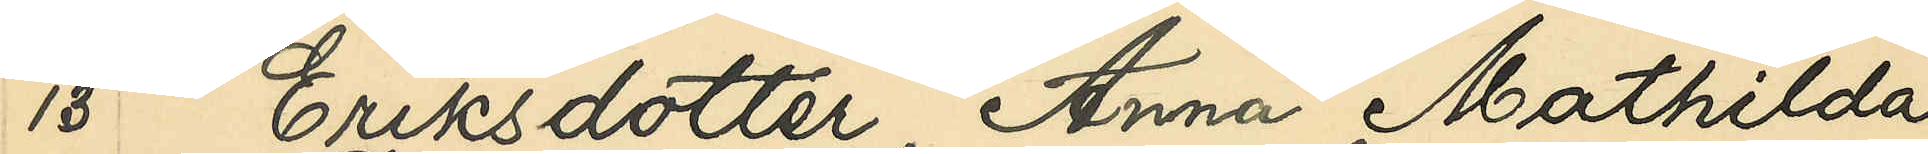13 Eriksdotter, Anna Mathilda
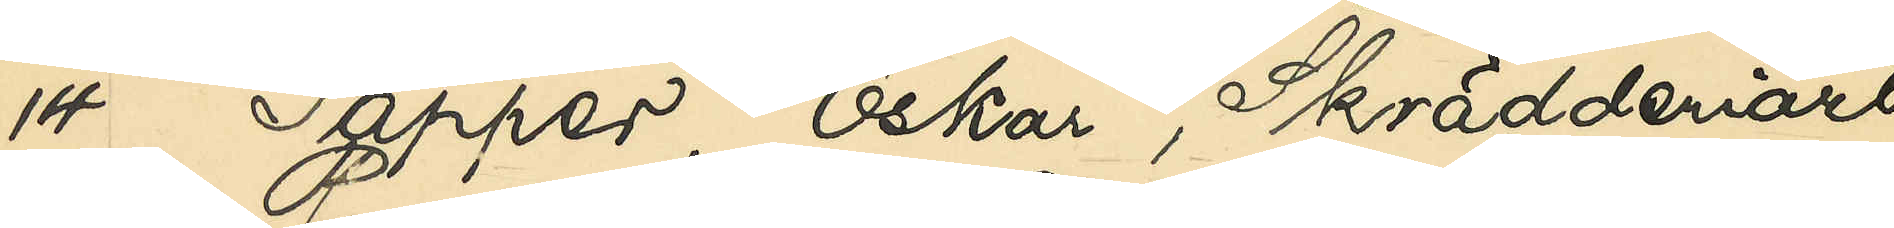14 Tapper, Oskar, Skrädderiarb.
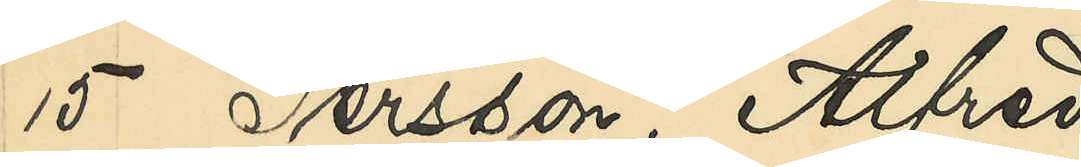15 Persson, Alfred
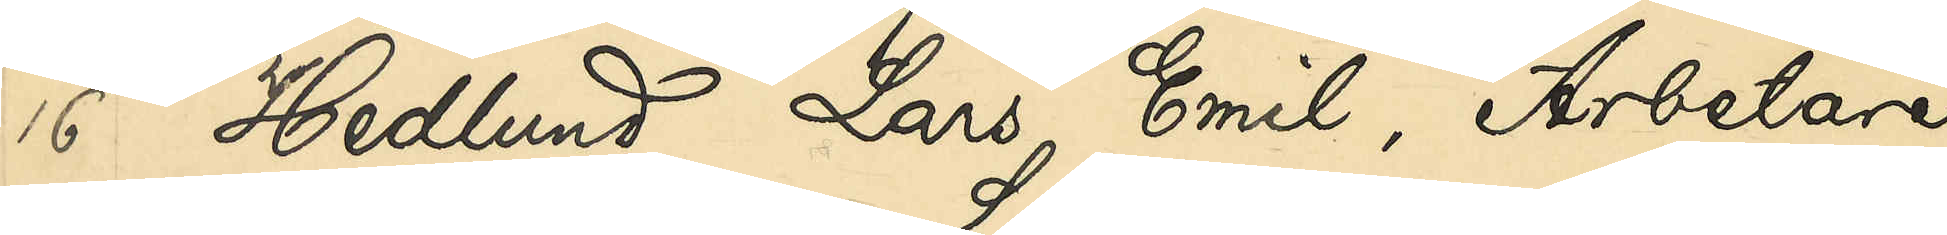16 Hedlund, Lars Emil, Arbetare
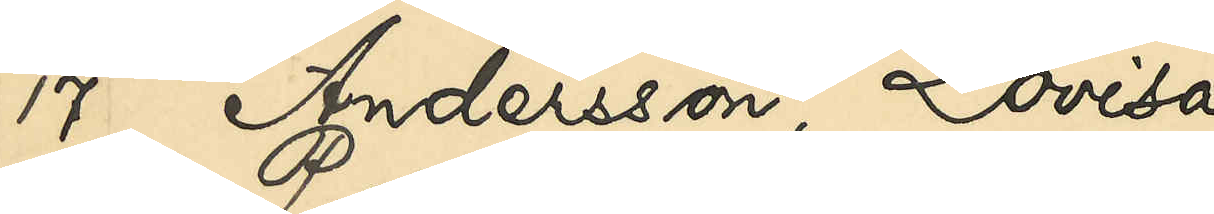17 Andersson, Lovisa
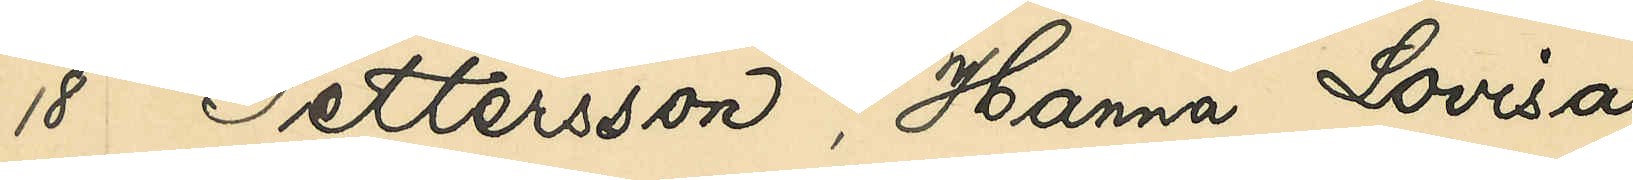18 Pettersson, Hanna Lovisa
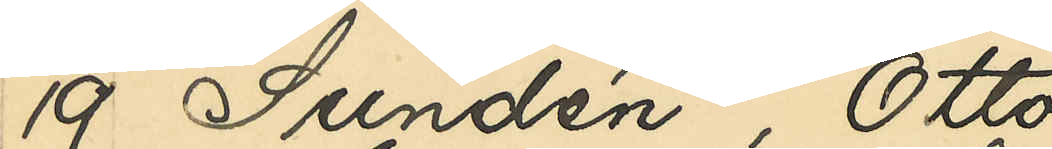19 Sundén, Otto
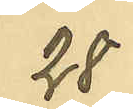28
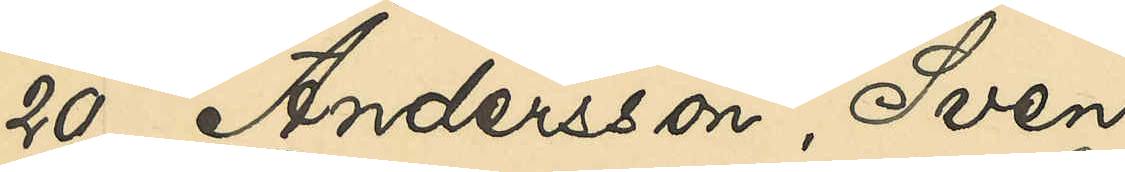20 Andersson, Sven
